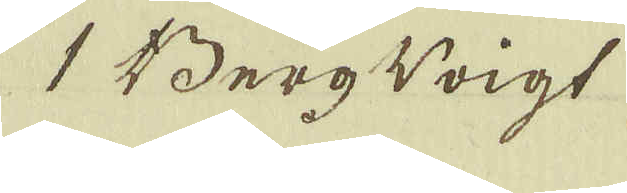1 Berg Voigt
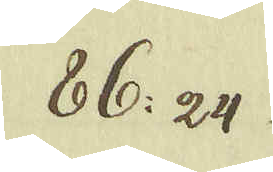86: 24
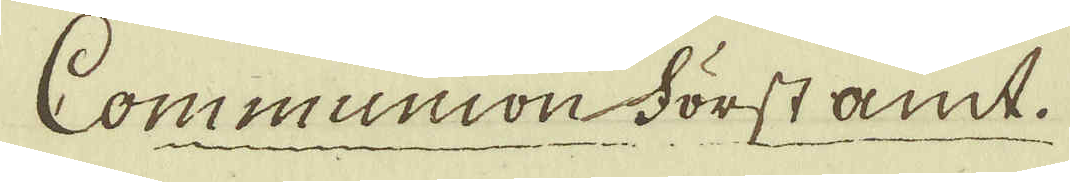Communion Först amt.
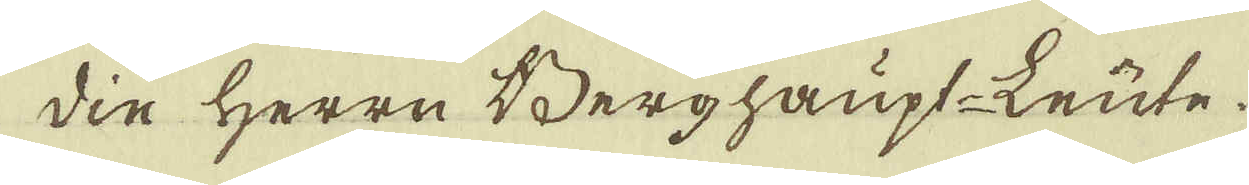die Herrn Berghaupt-Leute.
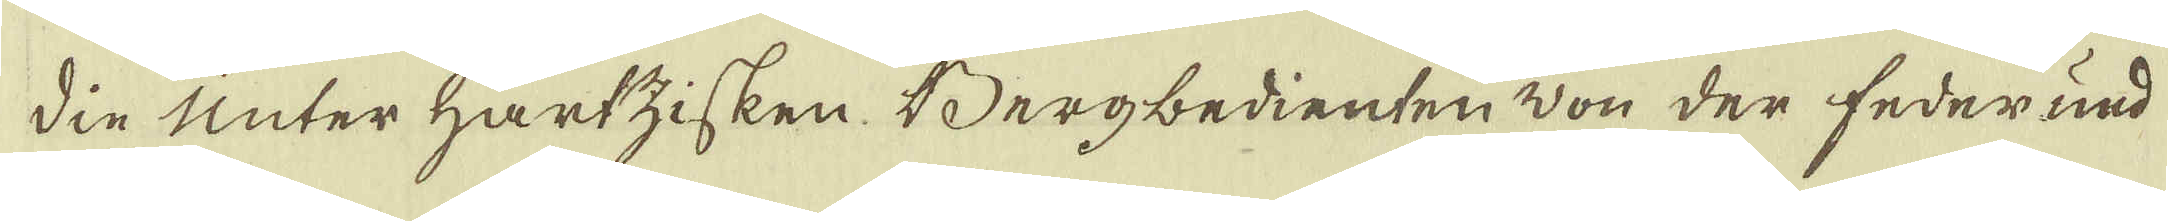die Unter Hartzisken Bergbedienten von der federund
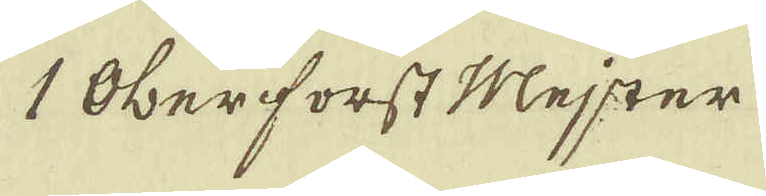1 Oberforst Mejster
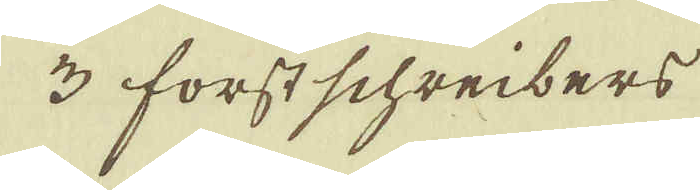3 forstschreibers
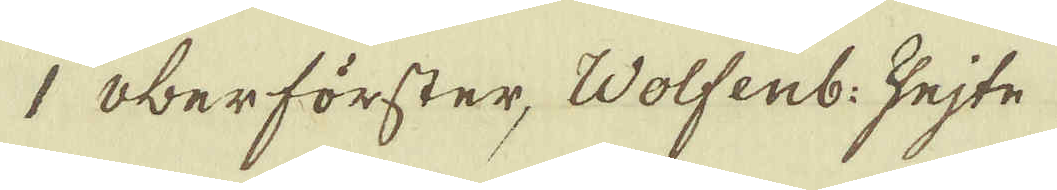1 Oberförster, Wolfenb: zejte
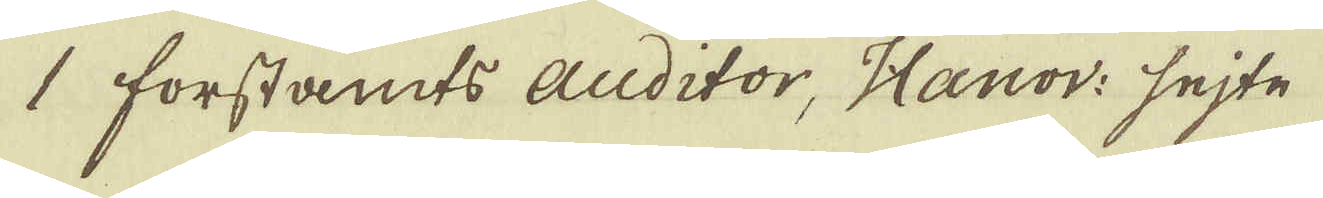1 forstamts auditor, Hanov: sejte
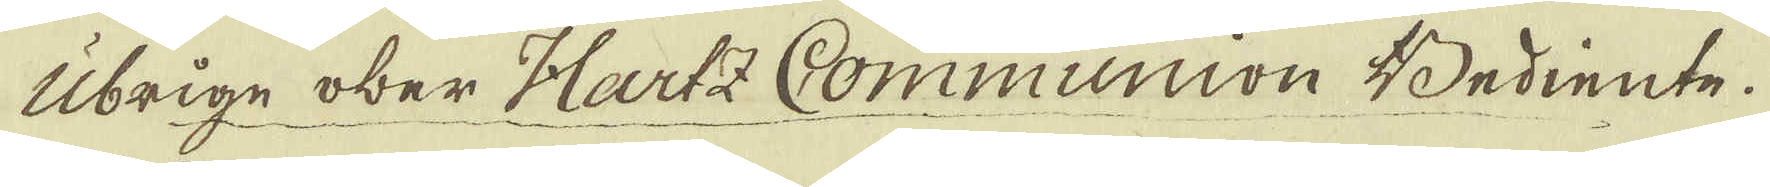Ubrige ober Hartz Communion Bediente.
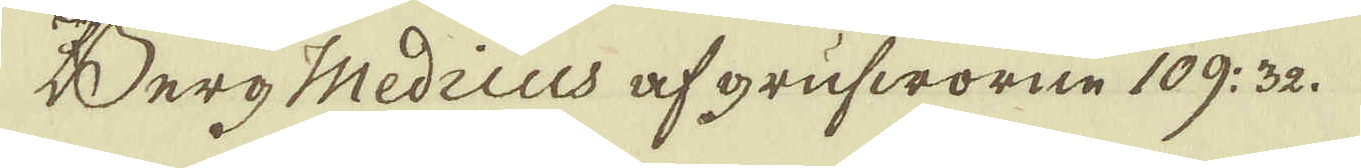Berg Medicus af grufworne 109: 32.
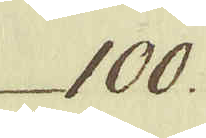100.
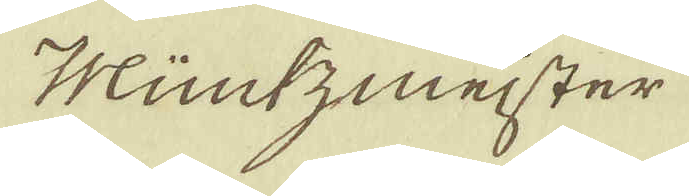Müntzmeister
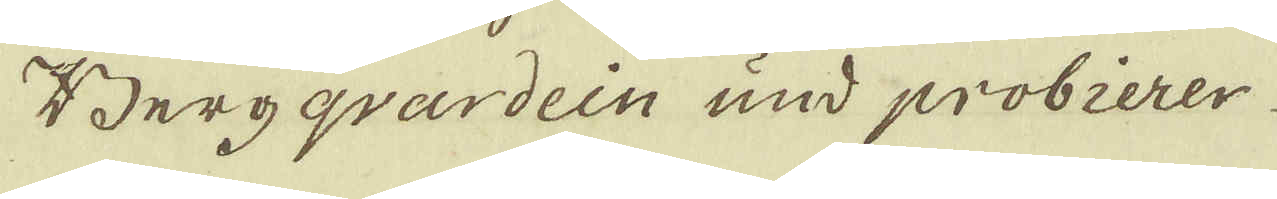Bergqvardein und probierer
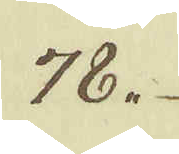78.
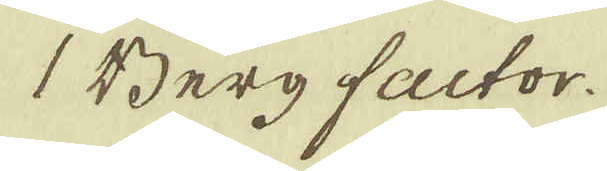1 Berg factor.
